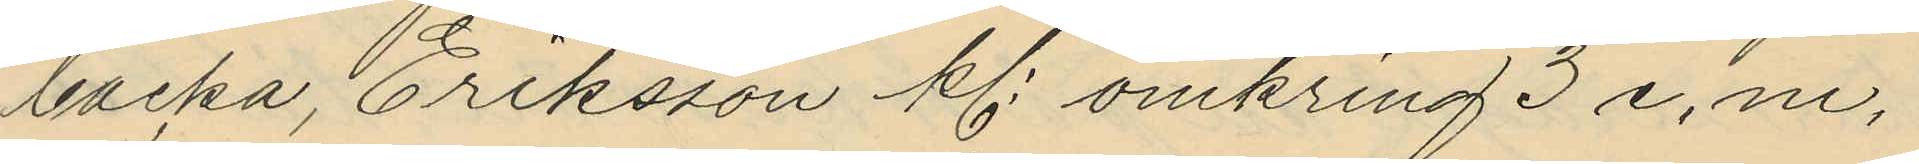backa, Eriksson kl. omkring 3 e. m.
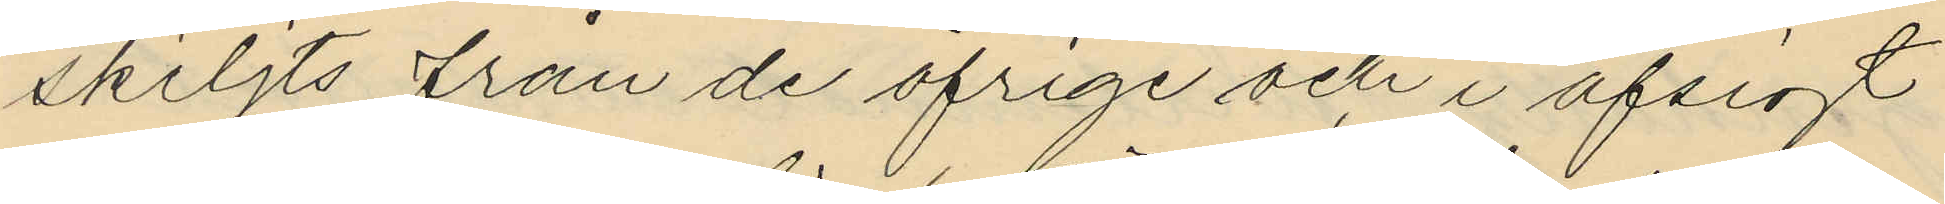skiljts från de öfrige och i afsigt
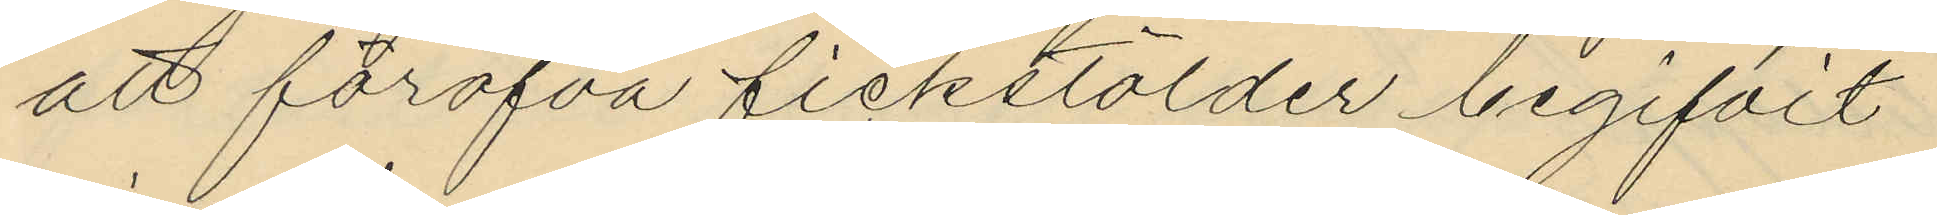att föröfva fickstölder begifvit
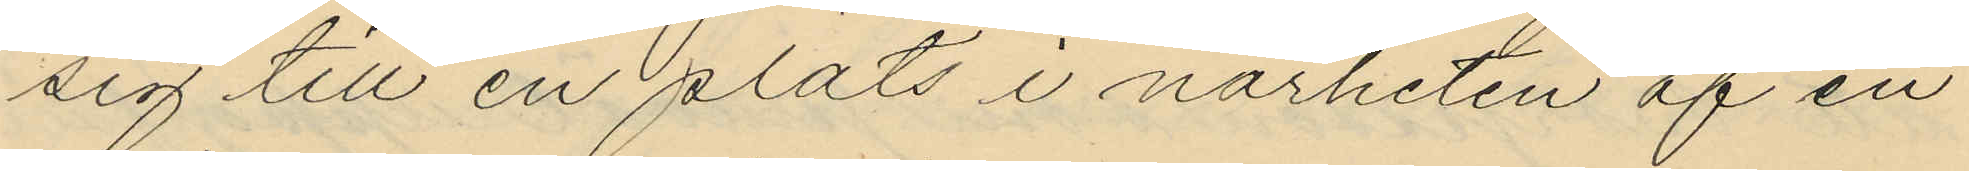sig till en plats i närheten af en
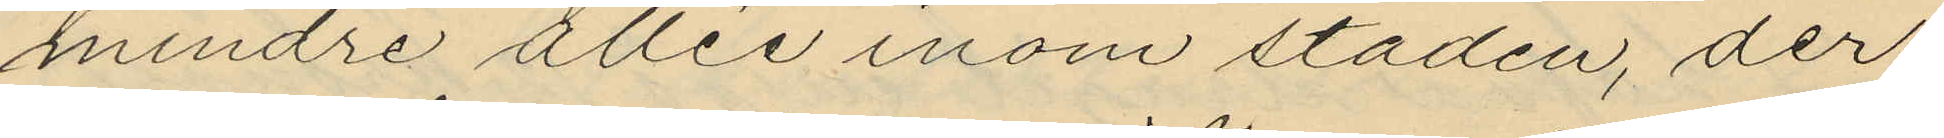mindre allie inom staden, der
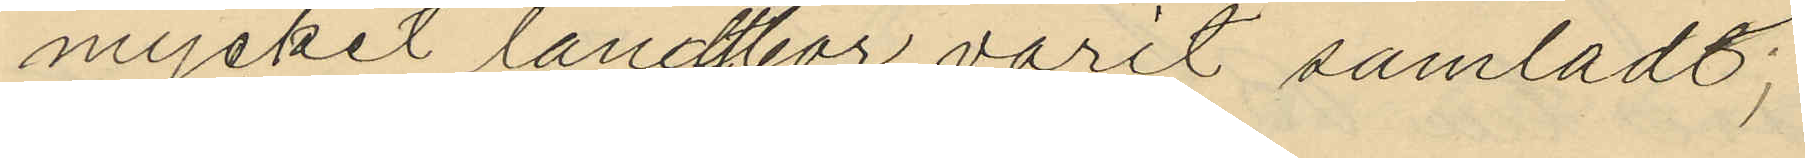mycket landtbor varit samlade;
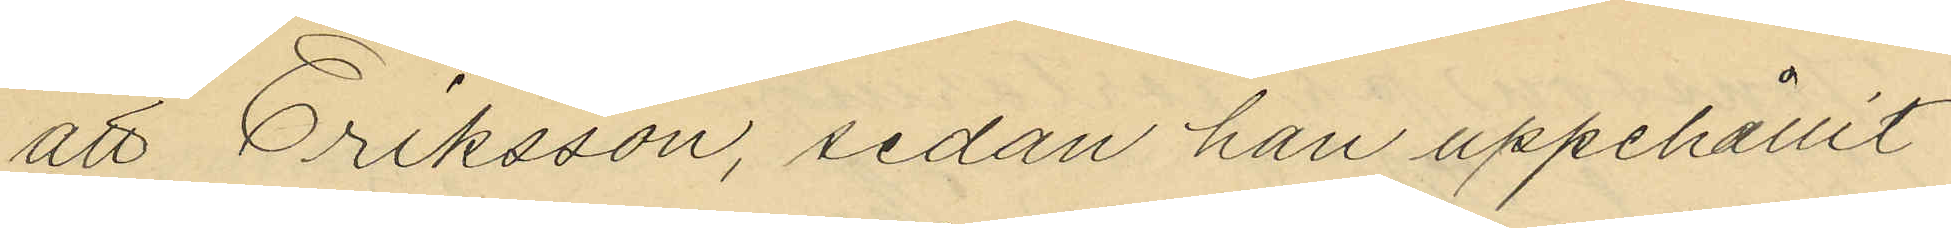att Eriksson, sedan han uppehållit
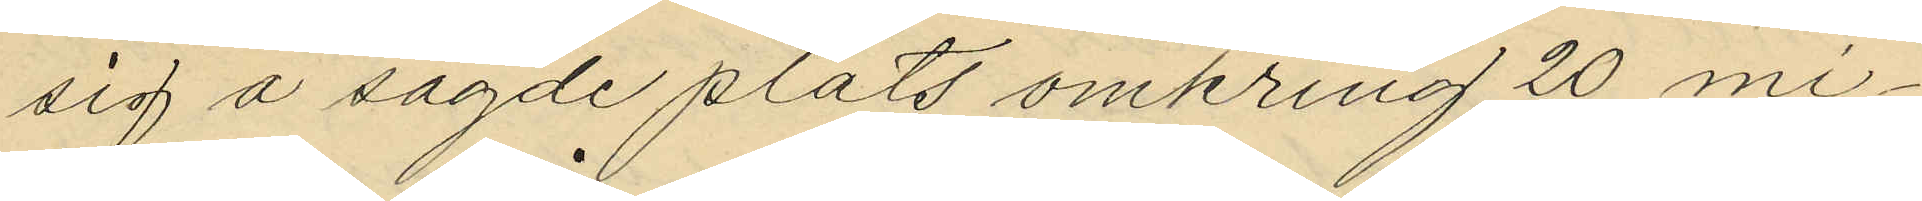sig å sagde plats omkring 20 mi¬
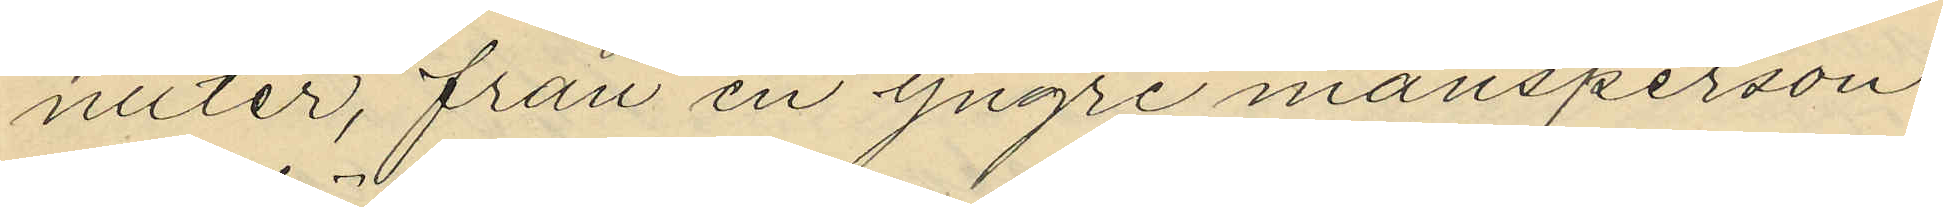nuter, från en yngre mansperson
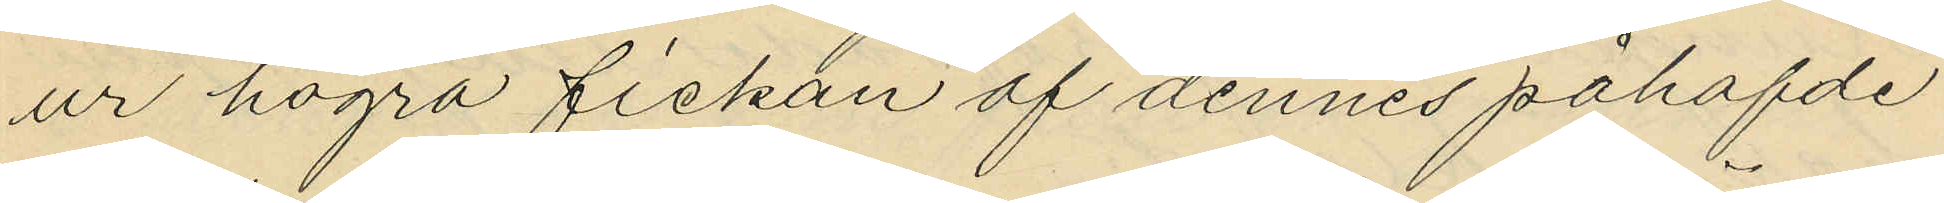ur högra fickan af dennes påhafde
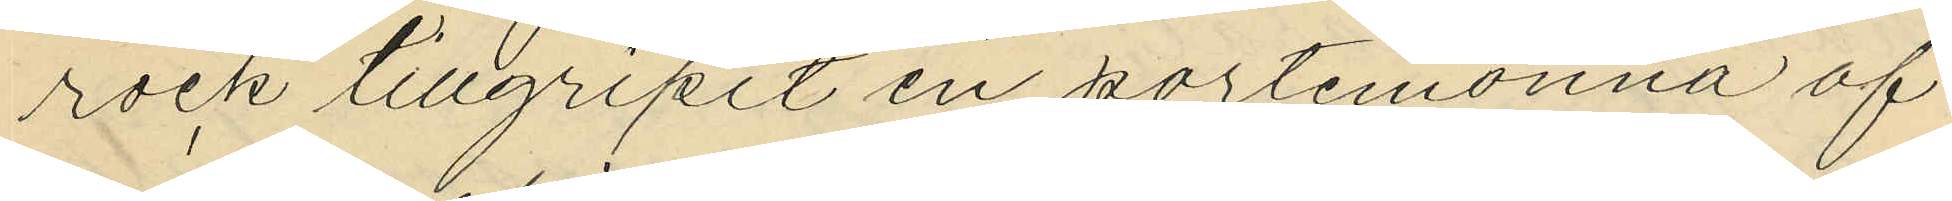rock tillgripit en portmonnä af
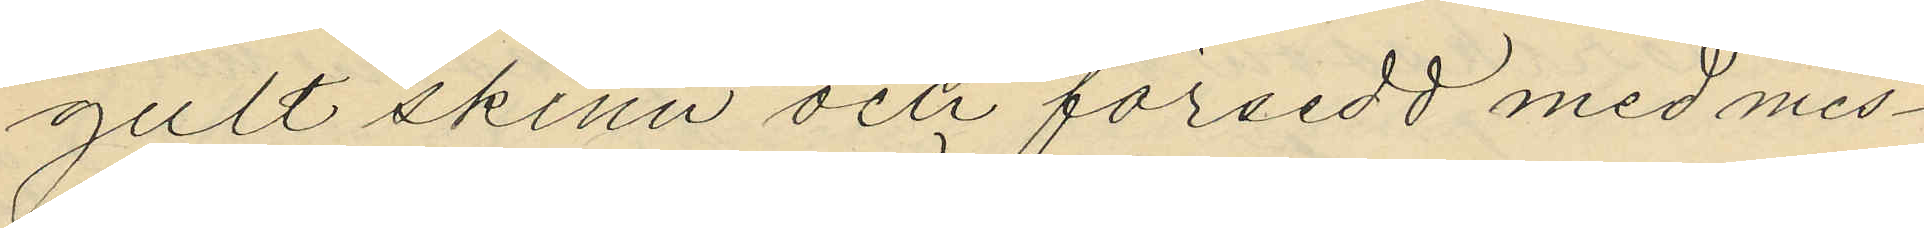gult skinn och försedd med mes¬
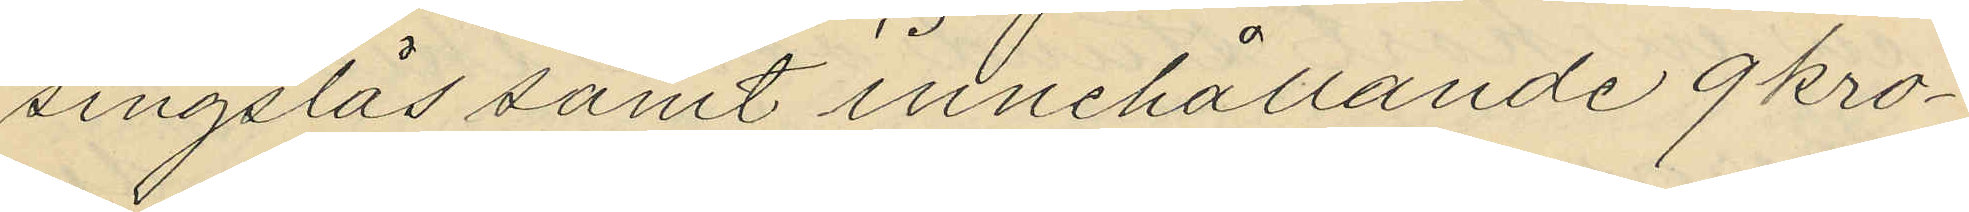singslås samt innehållande 9kro¬
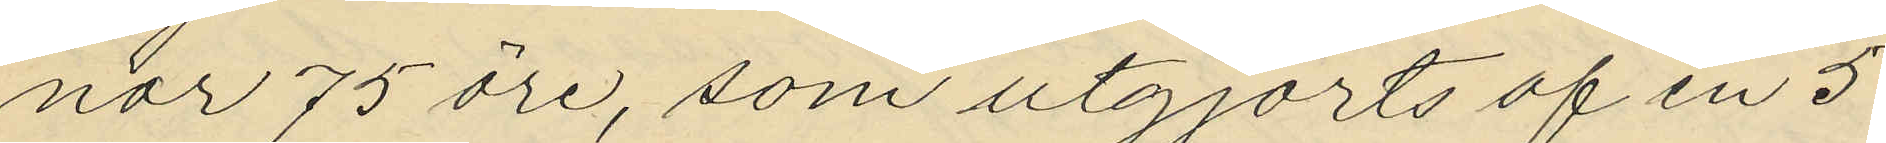nor 75 öre, som utgjorts af en 5
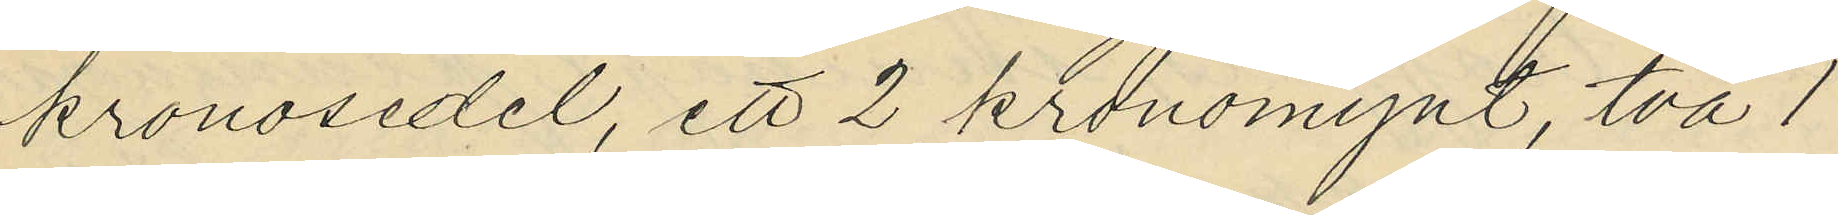kronosedel, ett 2 kronomynt, två 1
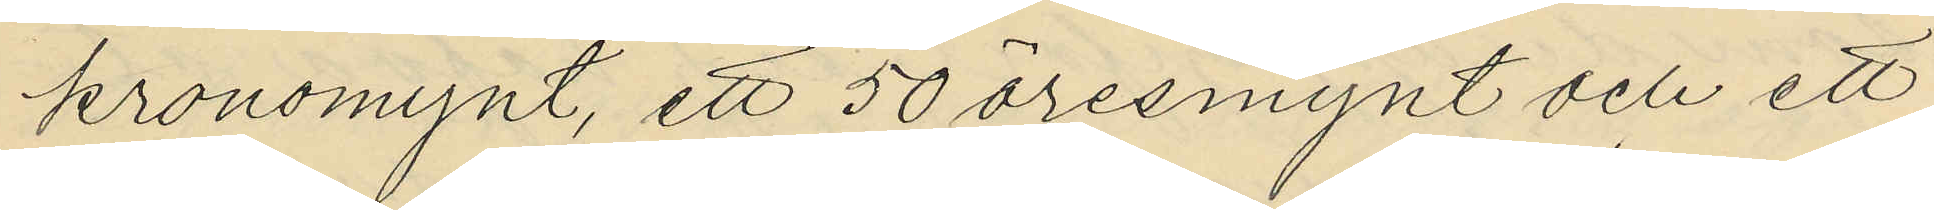kronomynt, ett 50 öresmynt och ett
